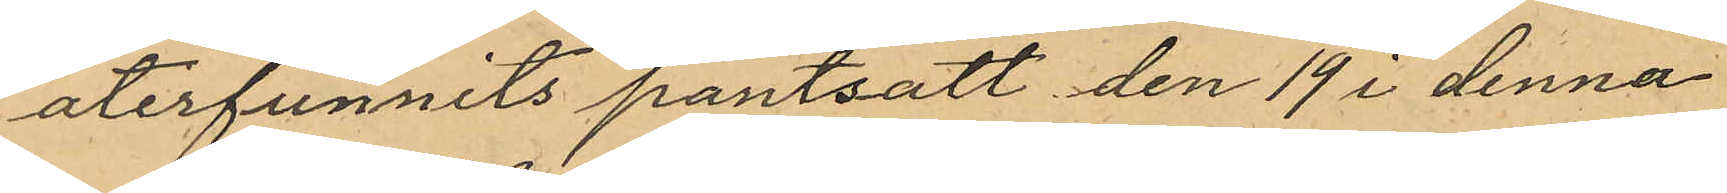återfunnits pantsatt den 19 i denna
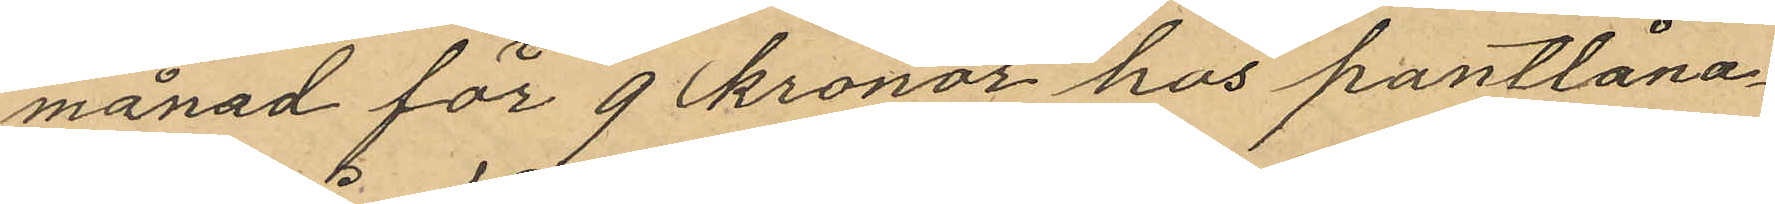månad för 90 kronor hos pantlåna¬
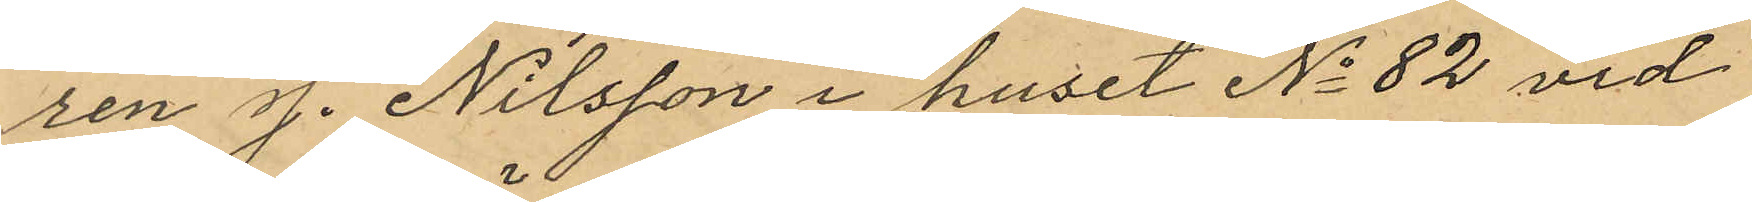ren J. Nilsson i huset No 82 vid
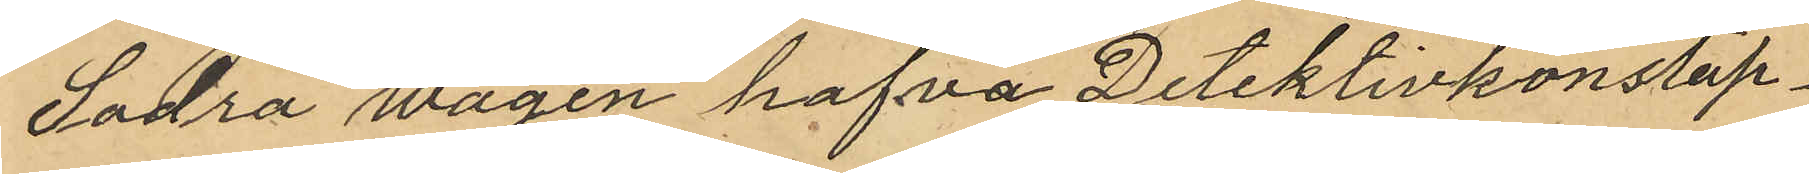Södra Wägen hafva Detektivkonstap¬
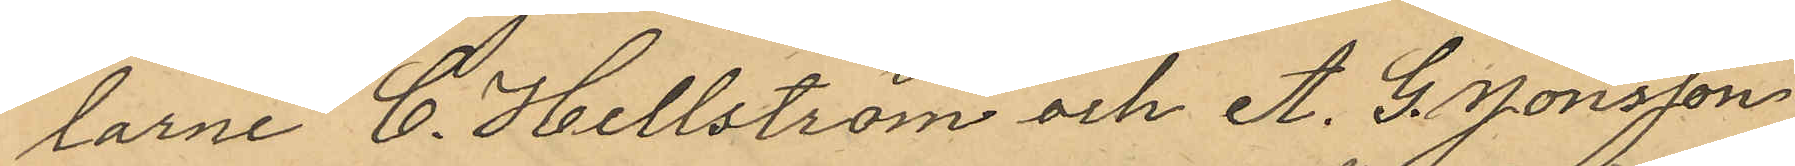larne C. Hellström och A. G. Jönsson
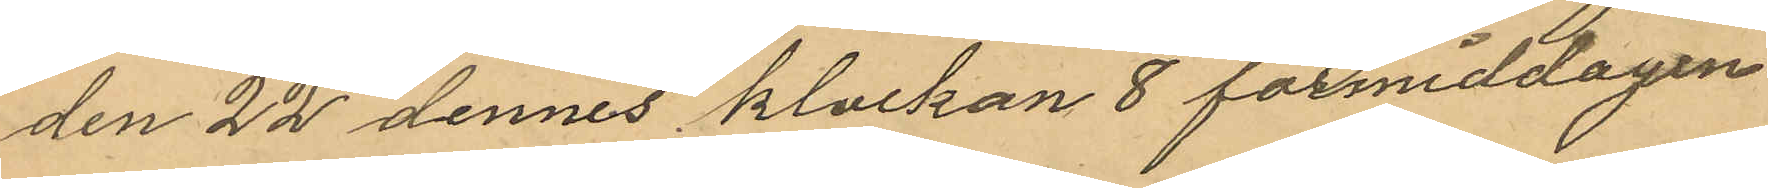den 22 dennes klockan 8 förmiddagen
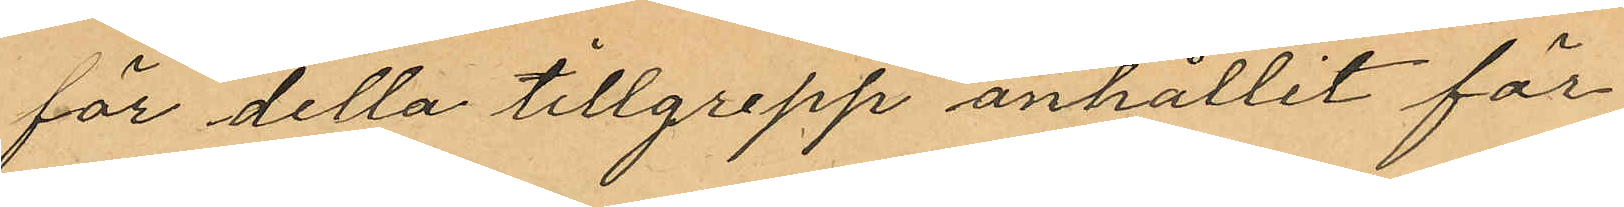för detta tillgrepp anhållit för
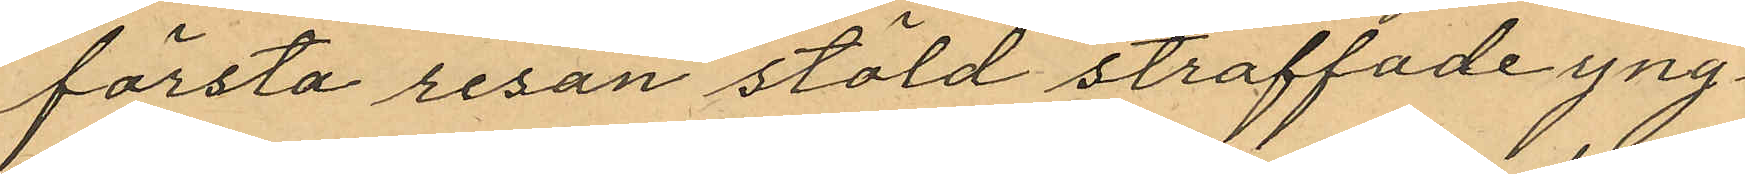första resan stöld straffade yng¬
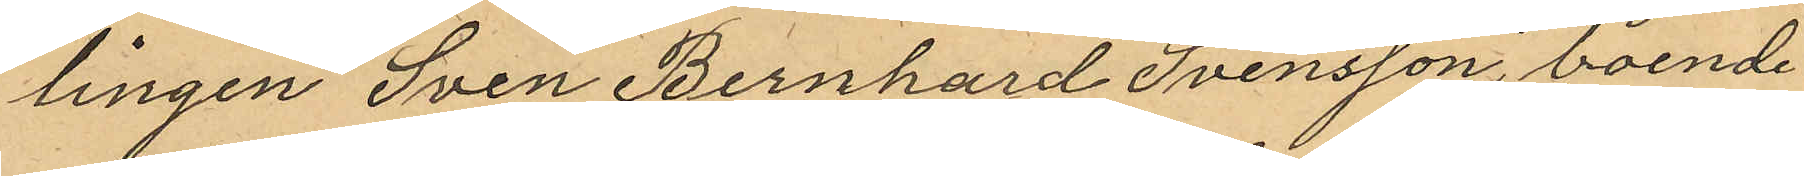lingen Sven Bernhard Svensson, boende
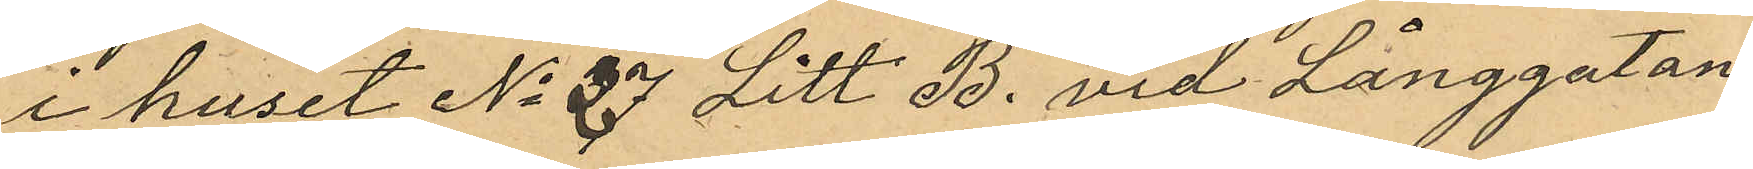i huset No 37 Litt. B. vid Långgatan
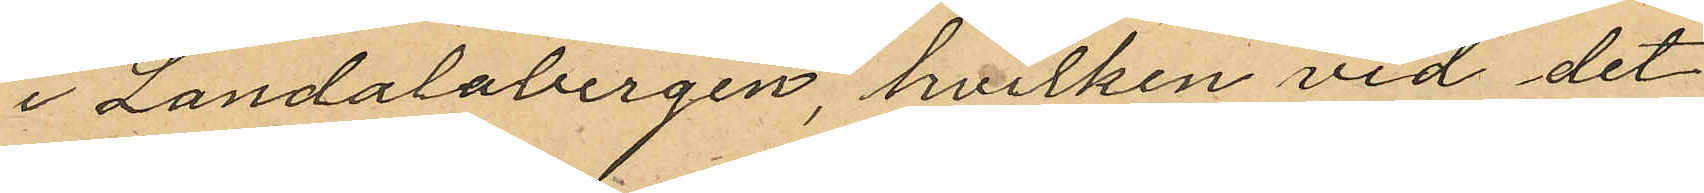i Landalabergen, hvilken vid det
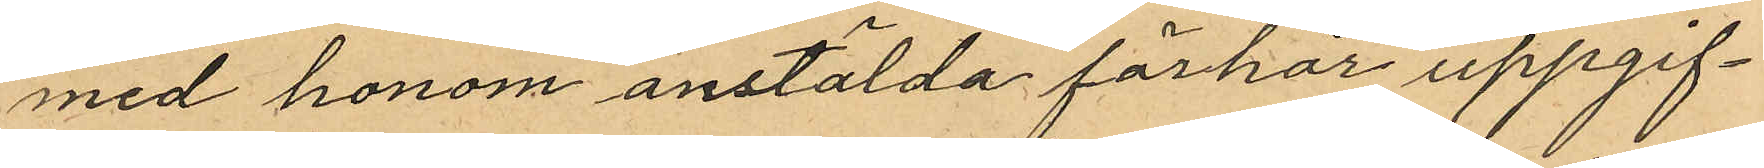med honom anstälda förhör uppgif¬
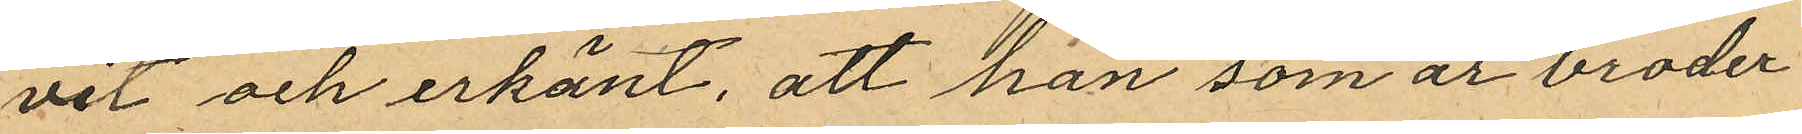vit och erkänt, att han som är broder
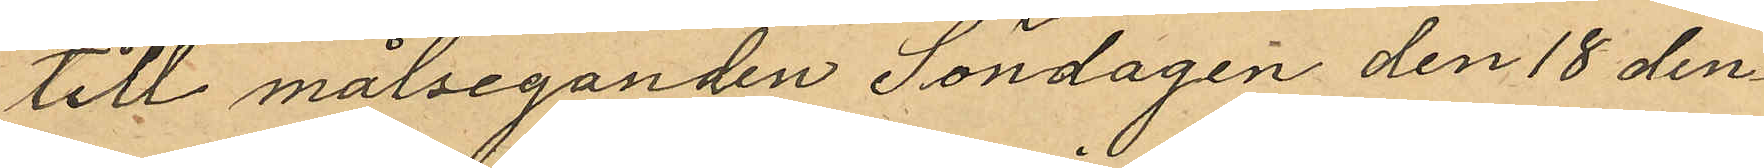till målseganden Söndagen den 18 den¬
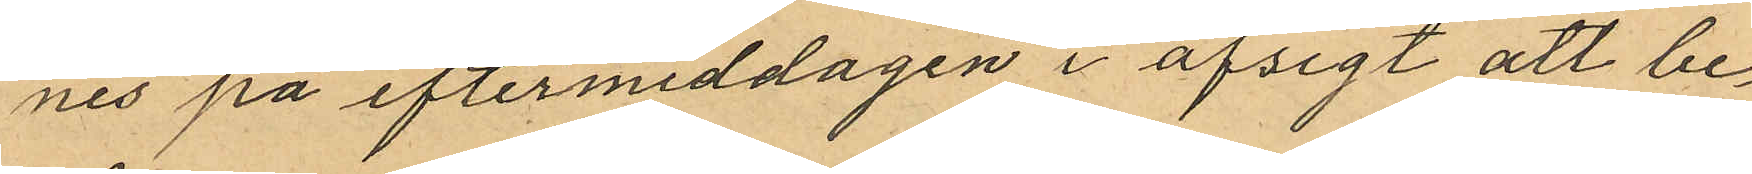nes på eftermiddagen i afsigt att be¬
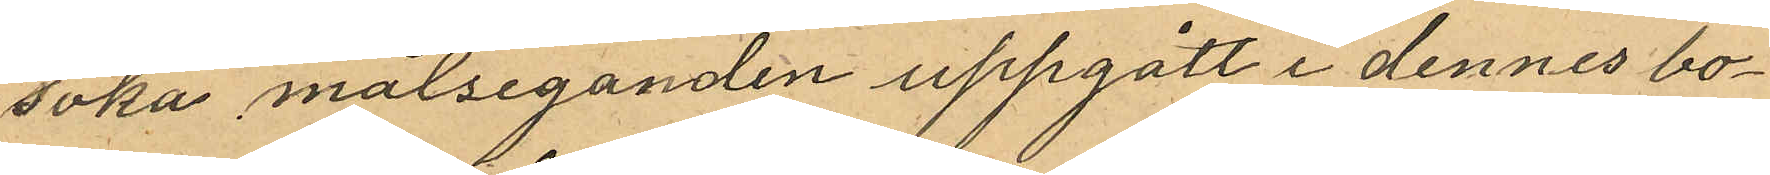söka målseganden uppgått i dennes bo¬
